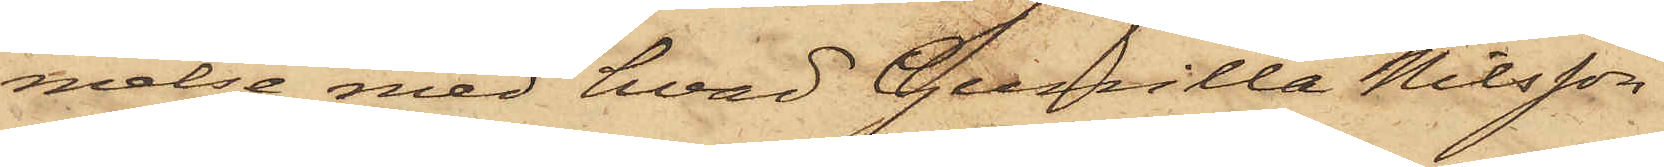melse med hvad Gunilla Nilsson
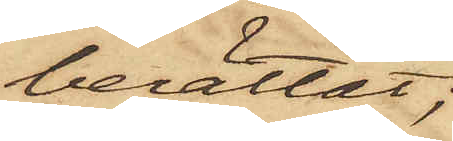berättat;
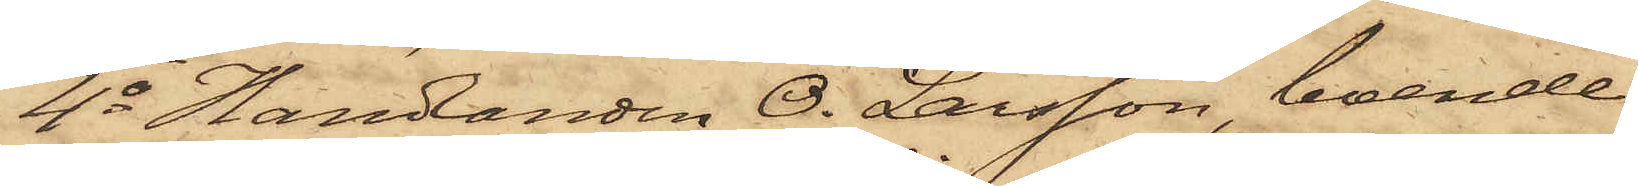4o Handlanden O. Larsson, boende
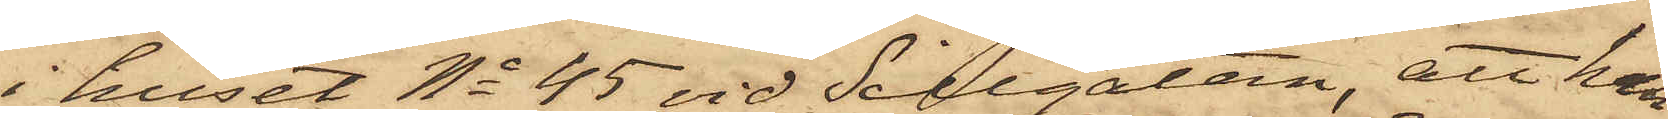i huset No 45 vid Sillgatan, att han
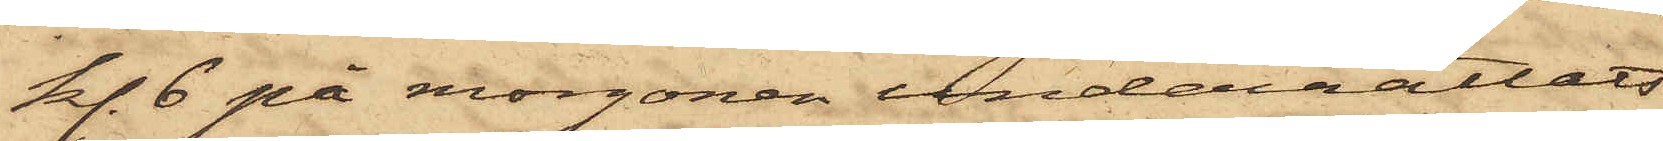kl. 6 på morgonen underrättats
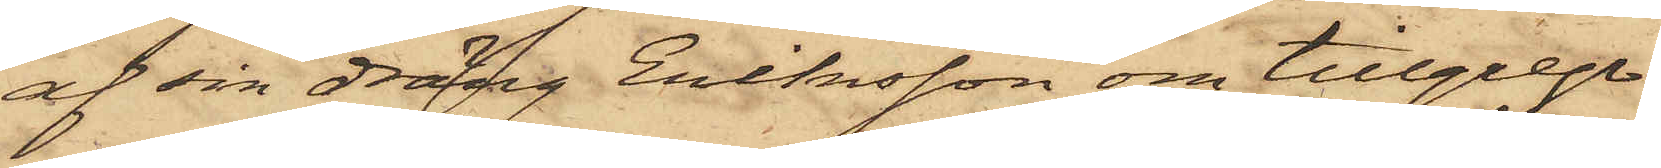af sin dräng Eriksson om tillgrep¬
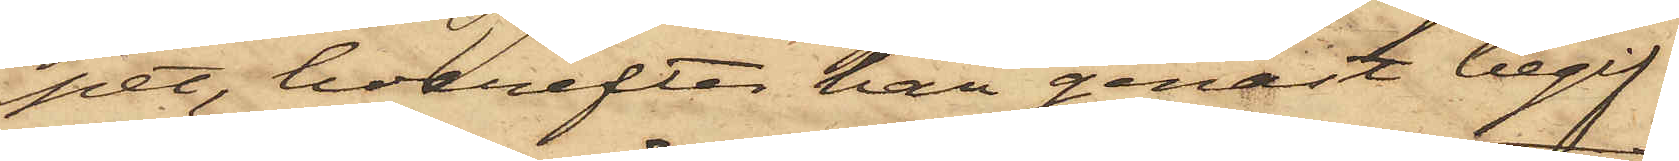pet, hvarefter han genast begif¬
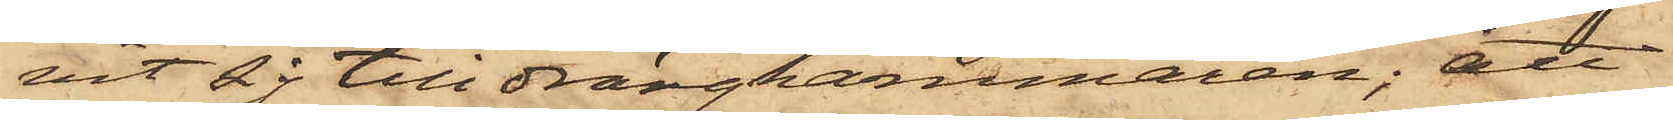vit sig till drängkammaren; att
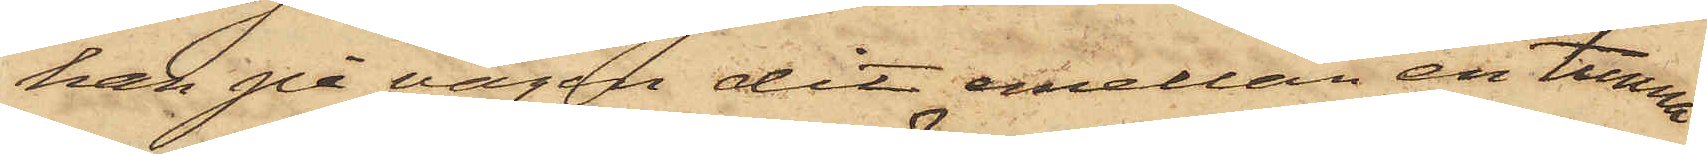han på vägen dit emellan en tunna
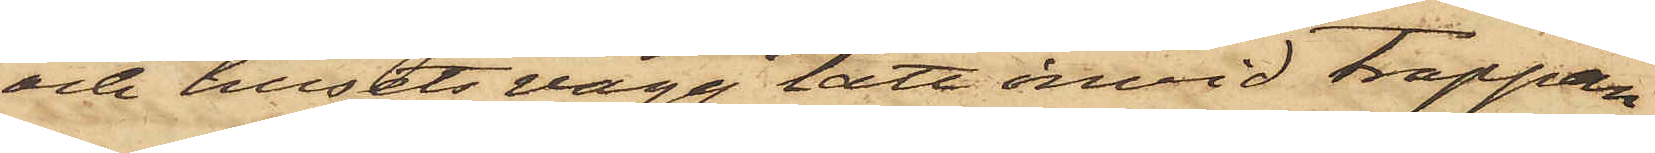och husets vägg tätt invid trappan
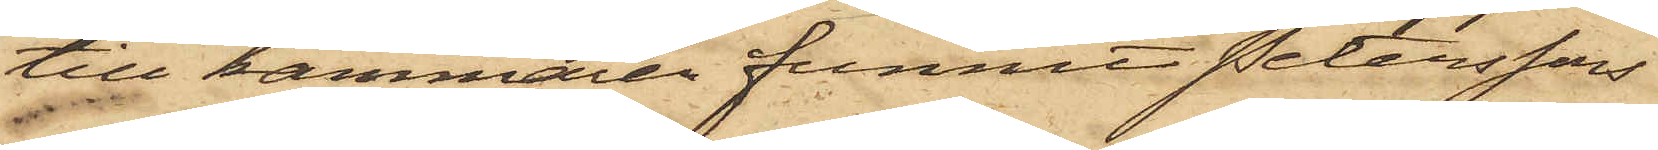till kammaren funnits Peterssons
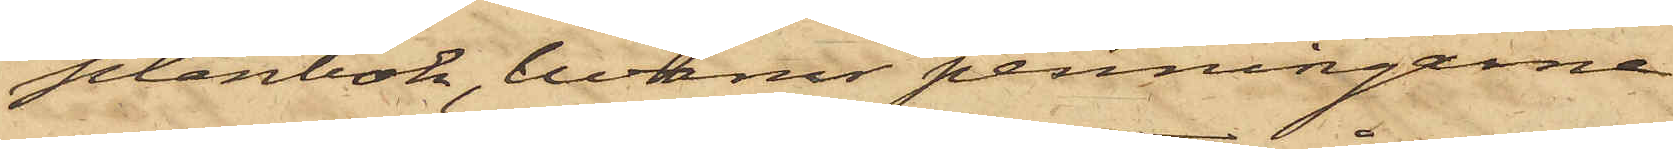plånbok, hvarur penningarne
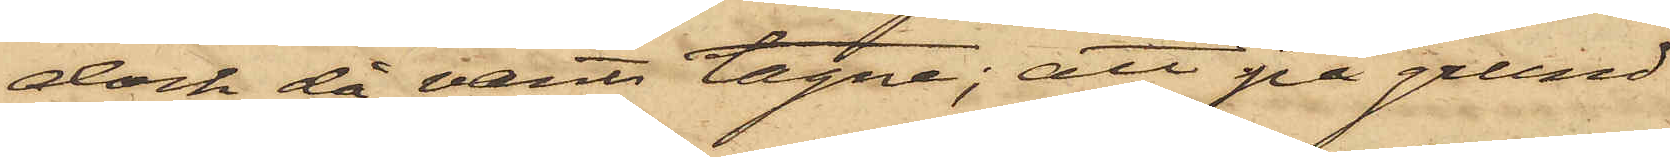dock då varit tagne; att på grund
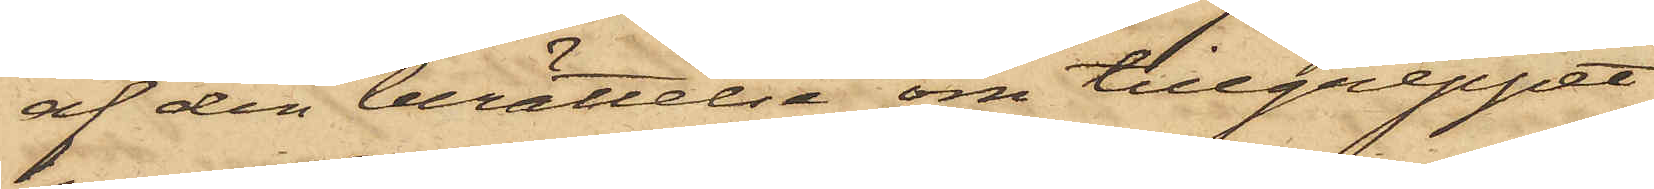af den berättelse om tillgreppet
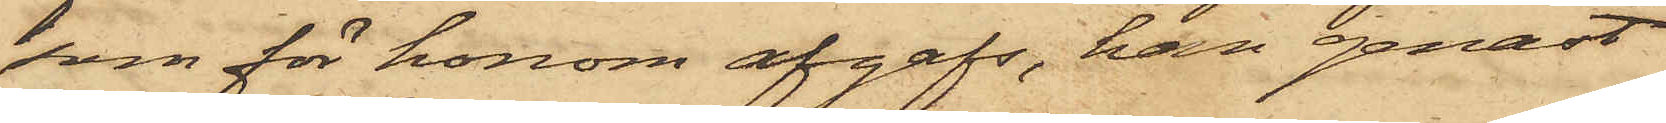som för honom afgafs, han genast
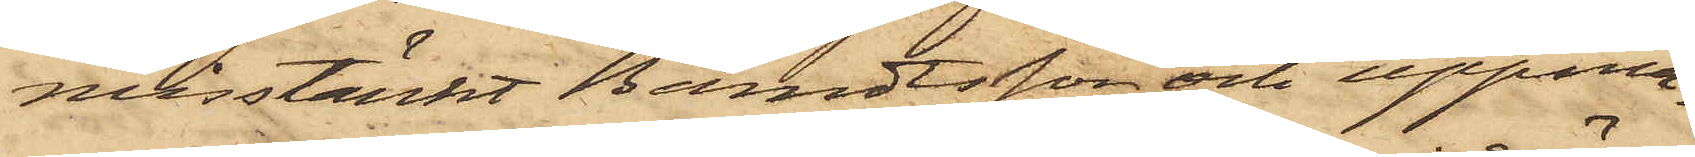misstänkt Berndtsson och uppma¬
